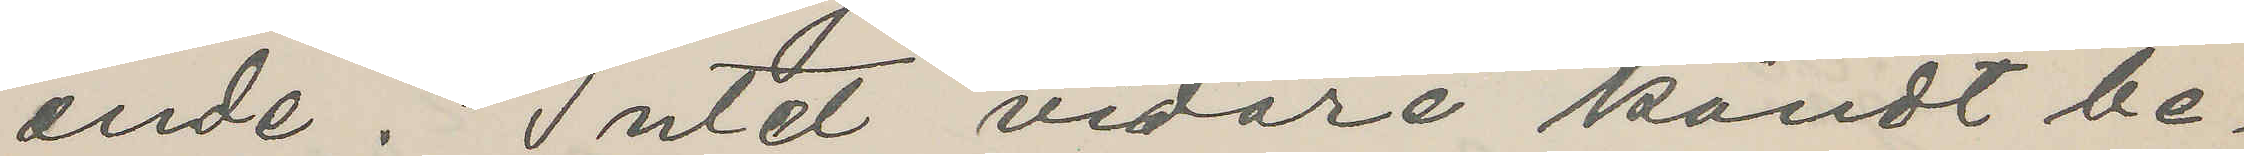ende. Intet vidare kändt be¬
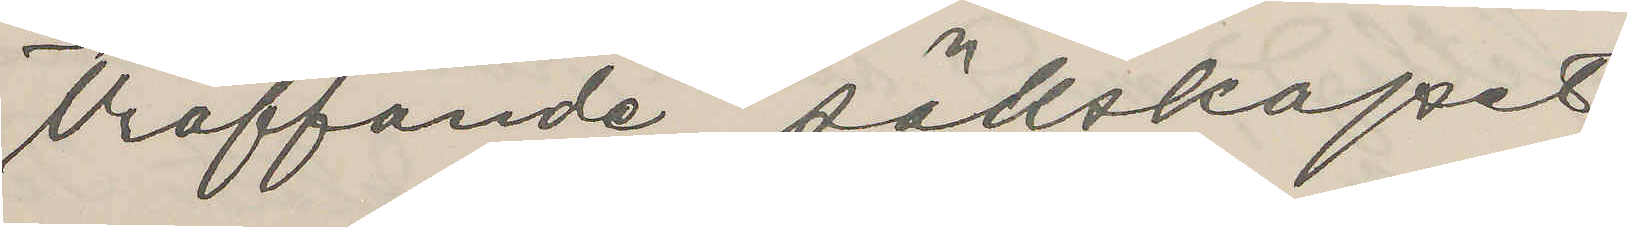träffande sällskapet.
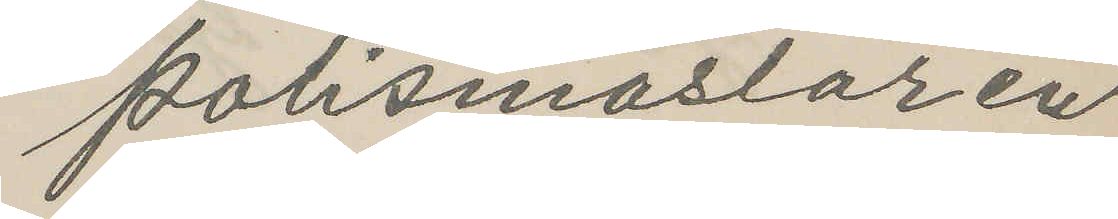Polismästaren
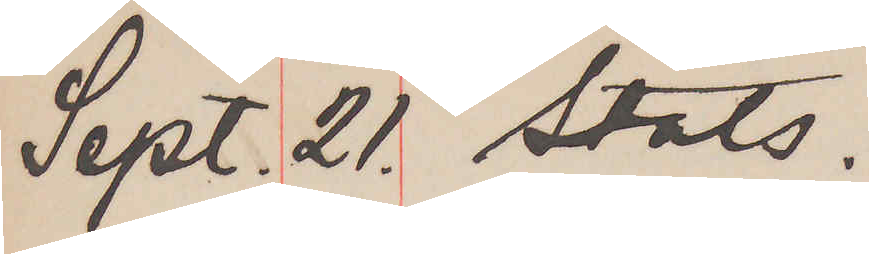Sept. 21. Stats.
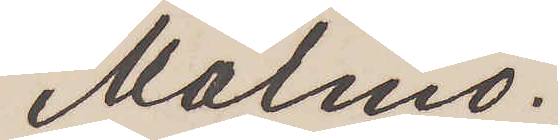Malmö.
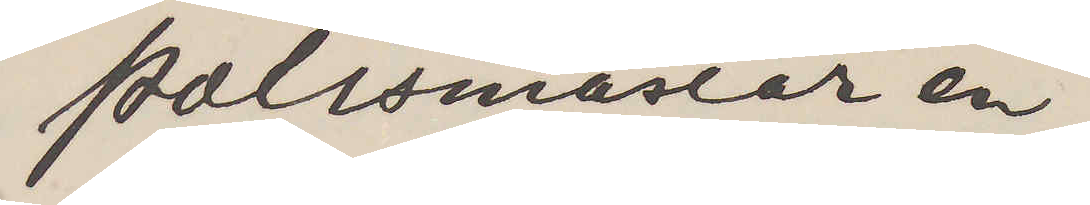Polismästaren
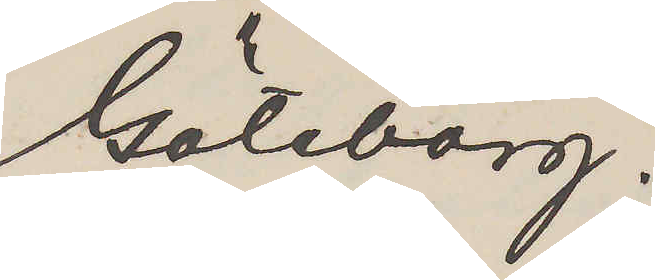Göteborg.
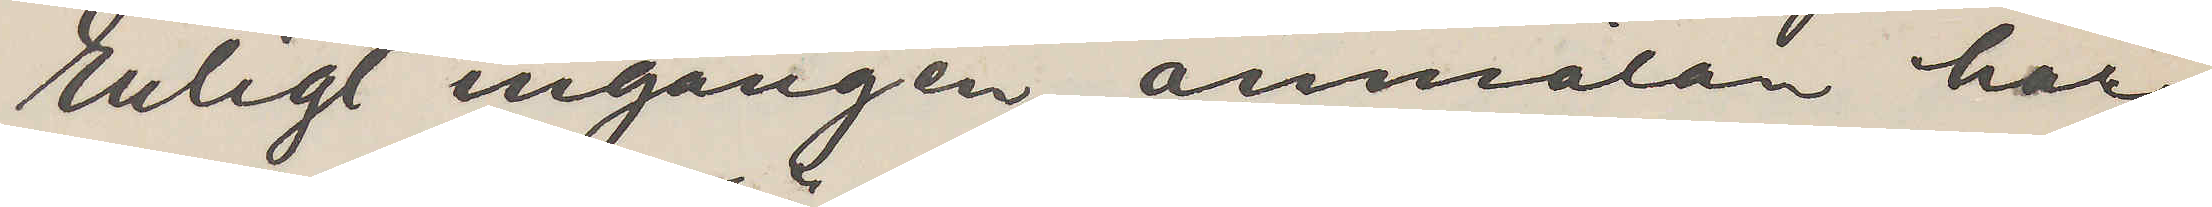Enligt ingången anmälan har
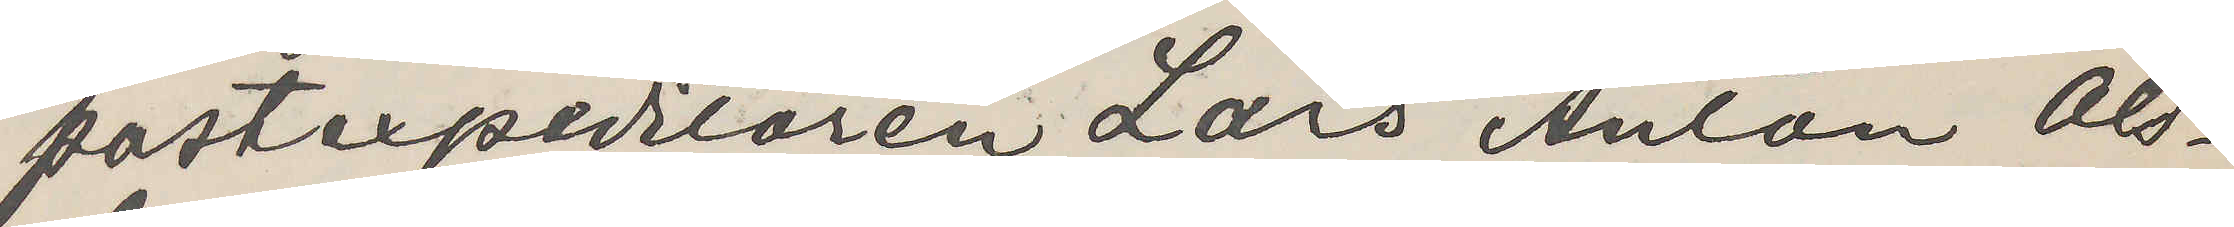postexpeditören Lars Anton Ols¬
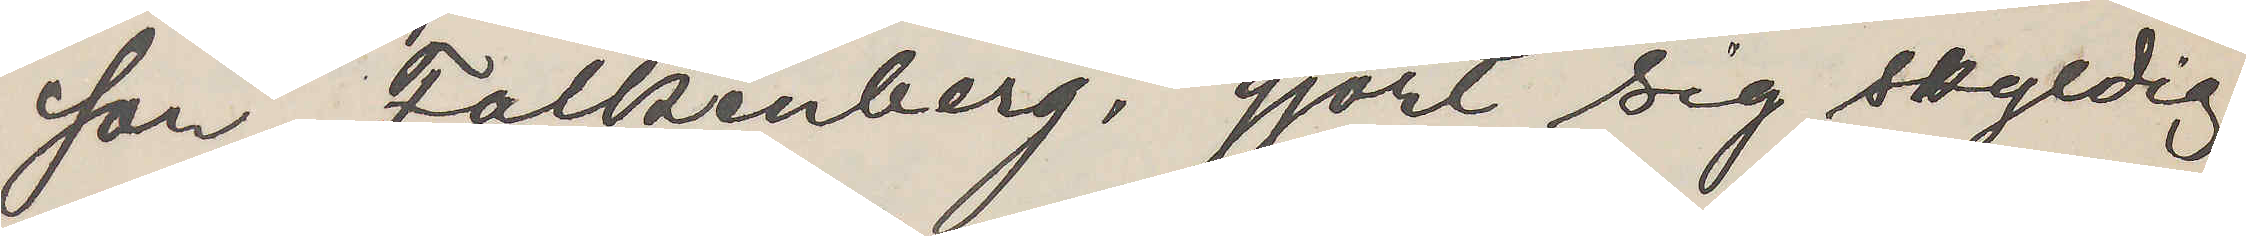son, Falkenberg, gjort sig skyldig
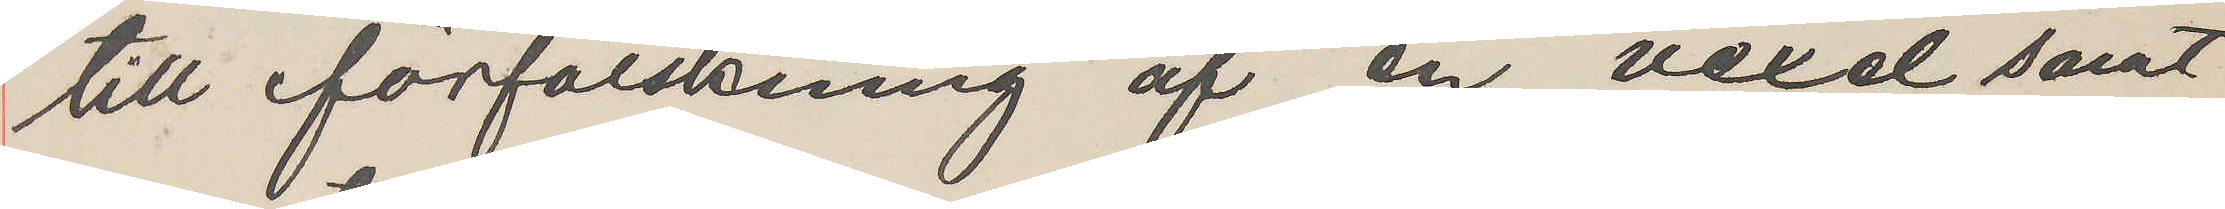till förfalskning af en vexel samt
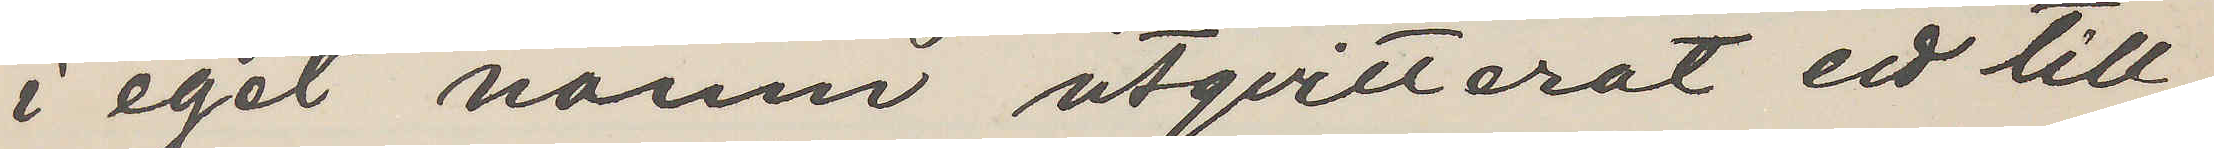i eget namn utqvitterat ett till
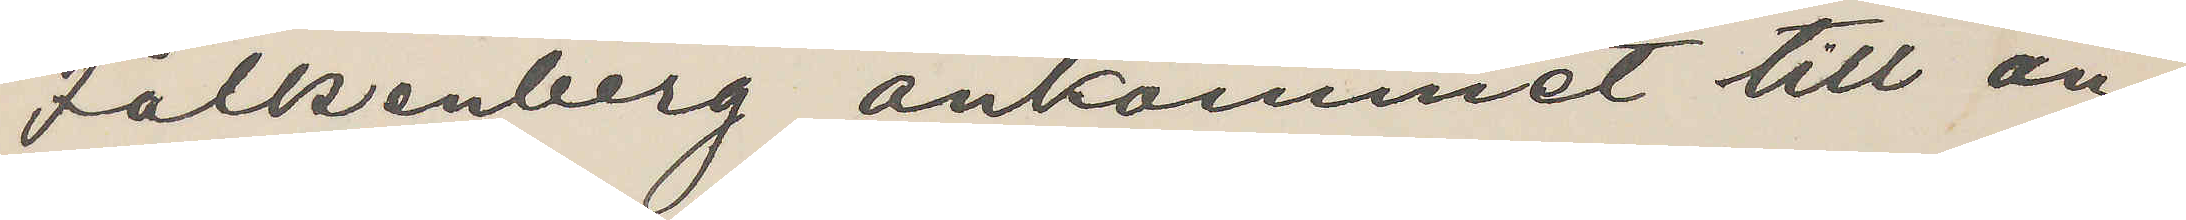Falkenberg ankommet till an¬
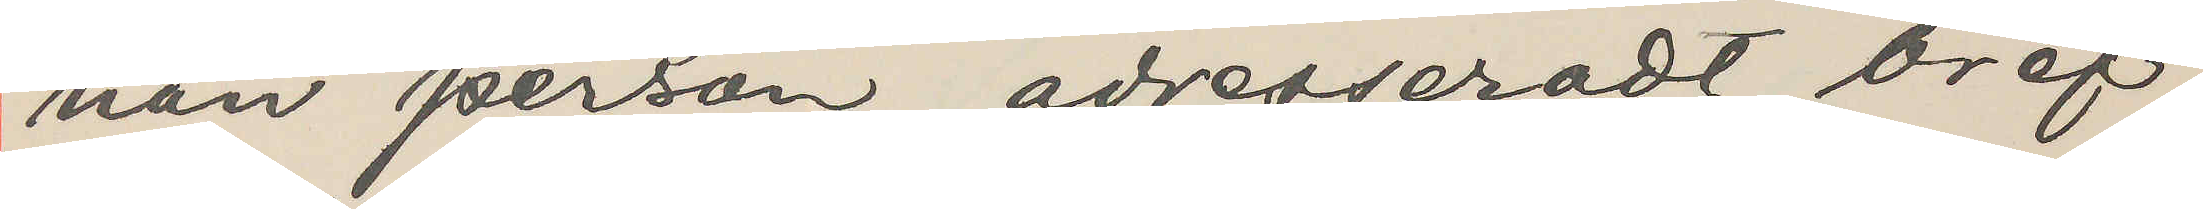nan person adresseradt bref
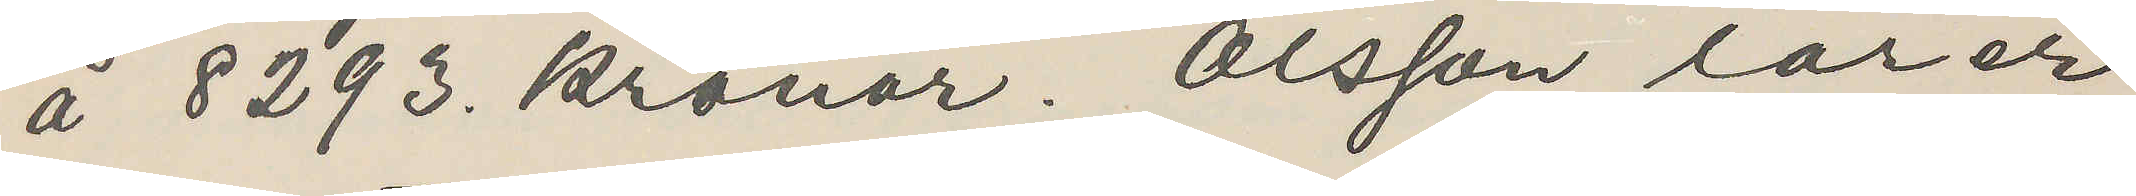å 8293 kronor. Olsson lärer
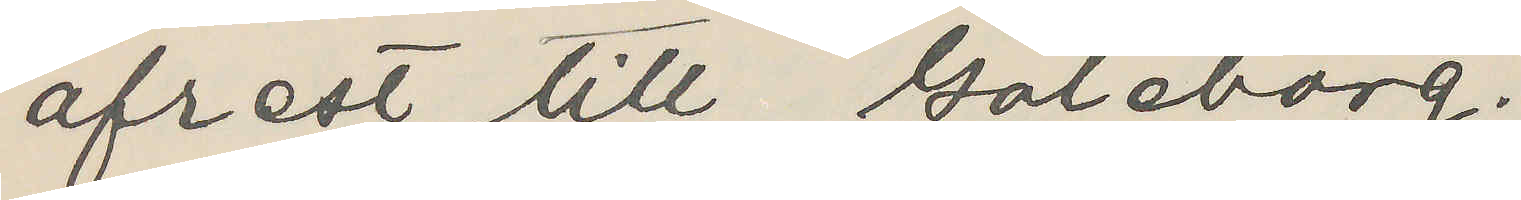afrest till Göteborg.
